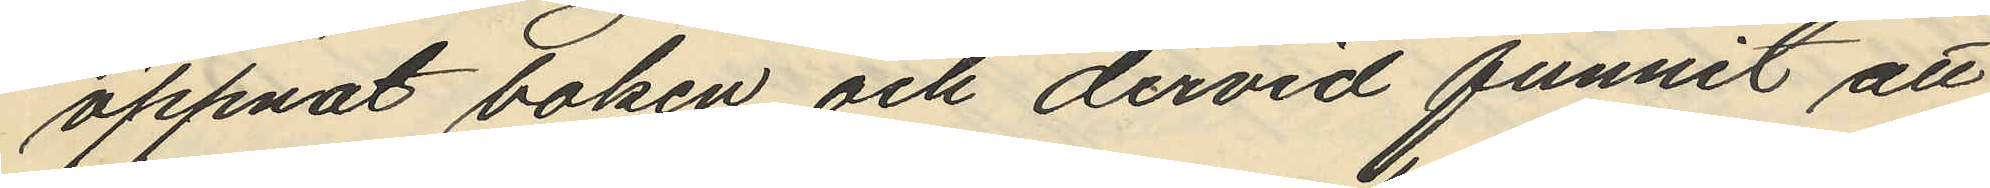öppnat boken och dervid funnit att
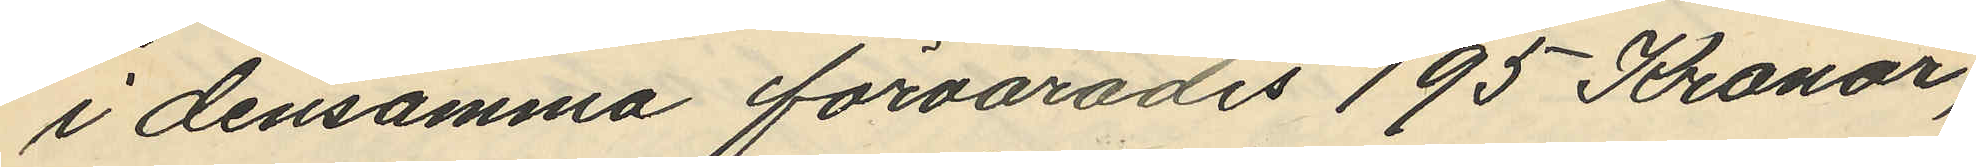i densamma förvarades 195 Kronor,
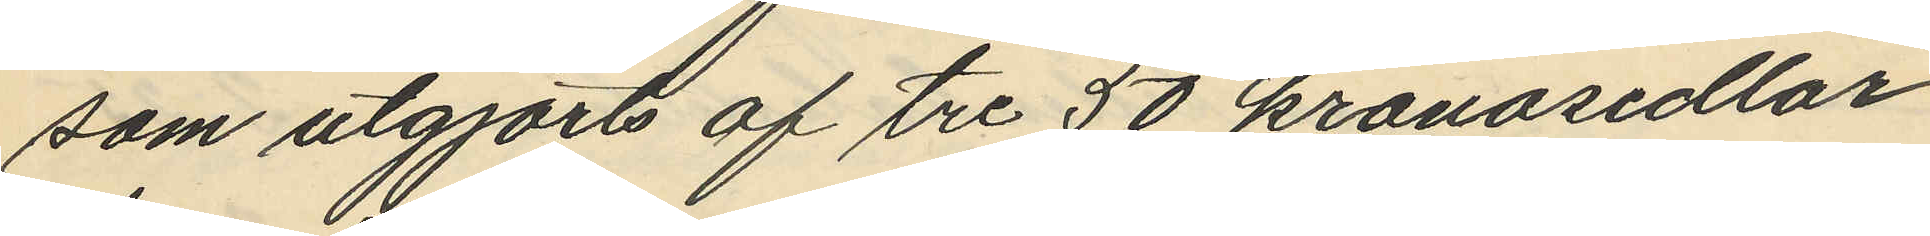som utgjort af tre 50 kronosedlar
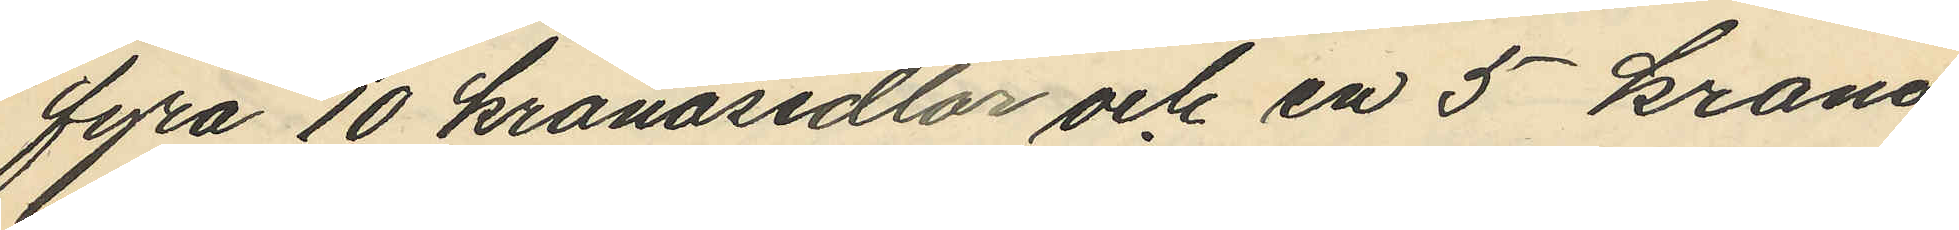fyra 10 kronosedlar och en 5 krono
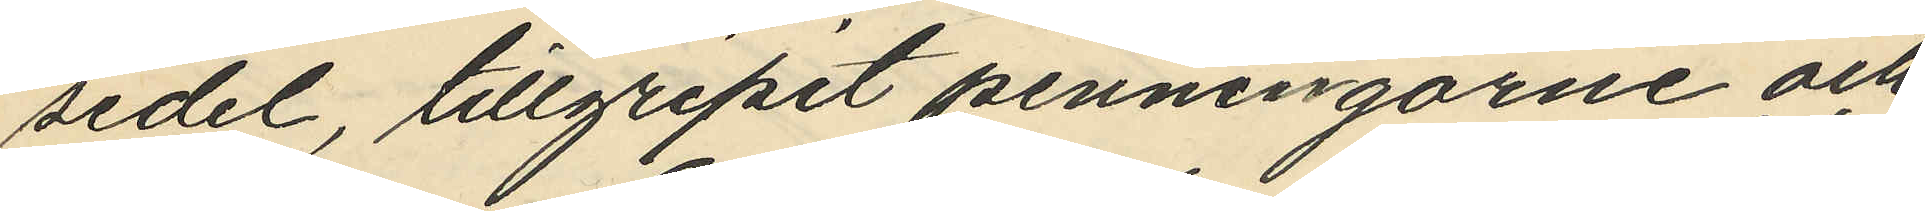sedel, tillgripit penningarne och
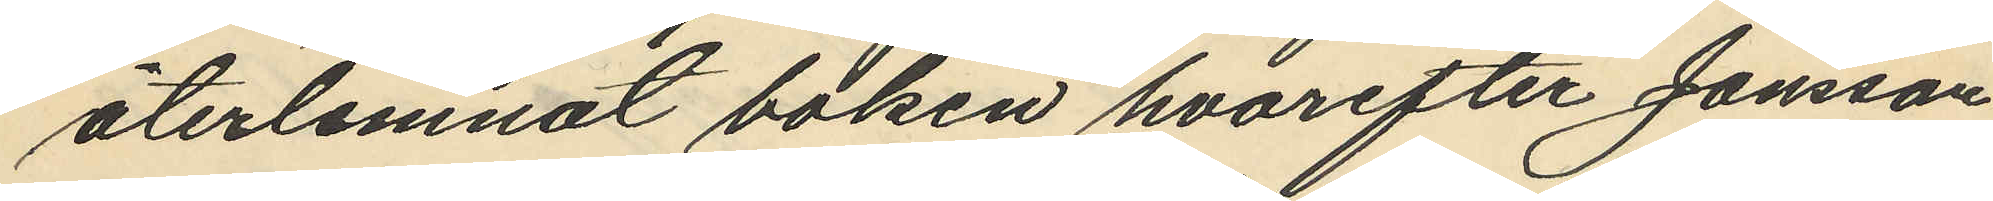återlemnat boken hvarefter Jonsson
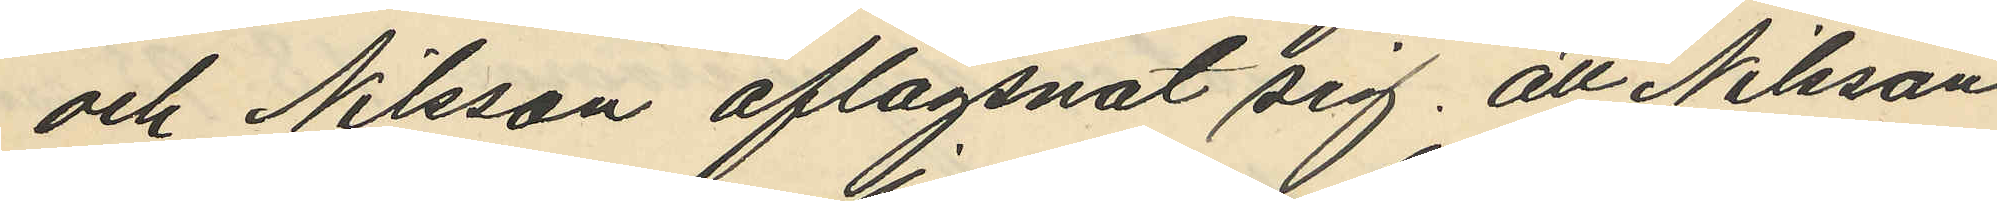och Nilsson aflägsnat sig; att Nilsson
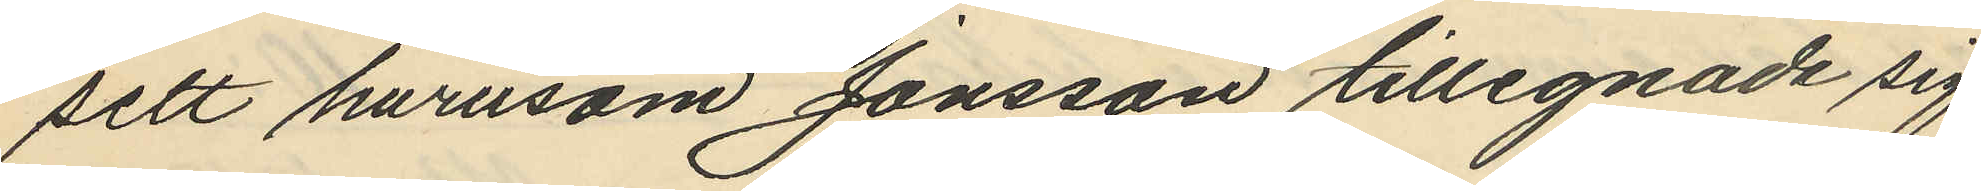sett hurusom Jonsson tillegnade sig
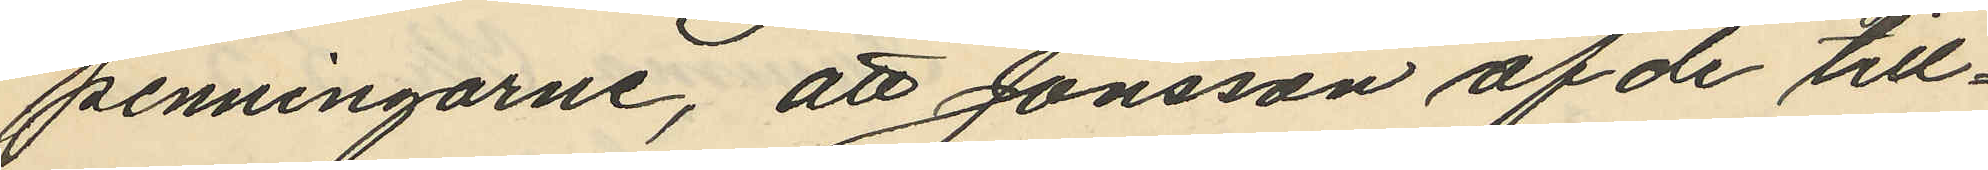penningarne, att Jonsson af de till¬
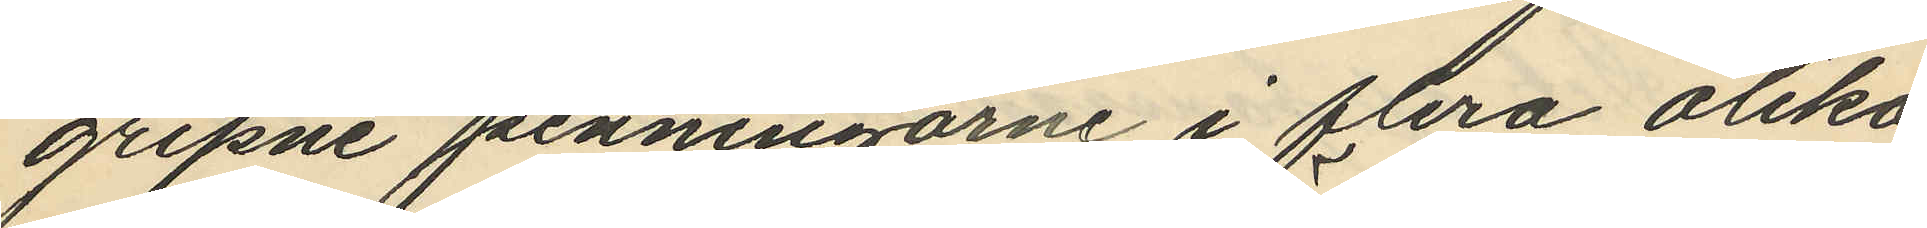gripne penningarne i flera olika
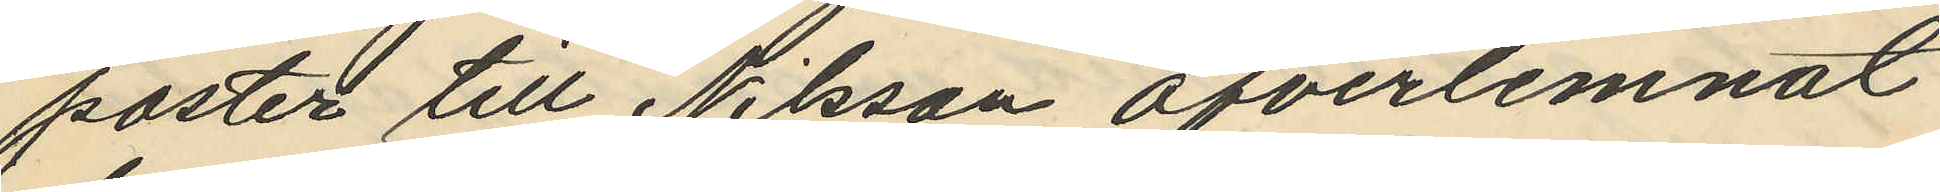poster till Nilsson öfverlemnat
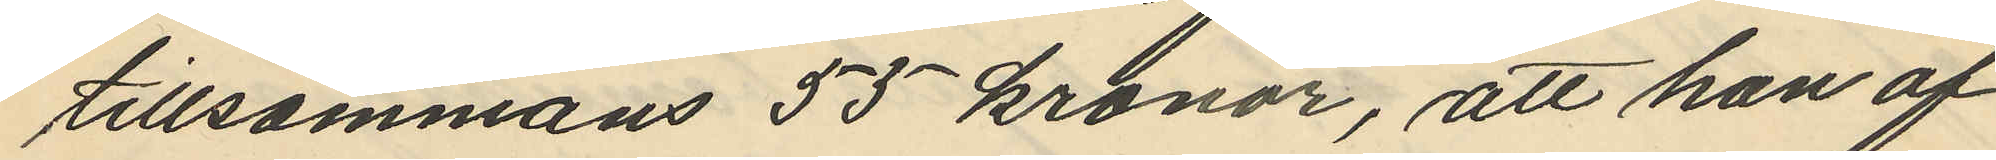tillsammans 55 kronor, att han af
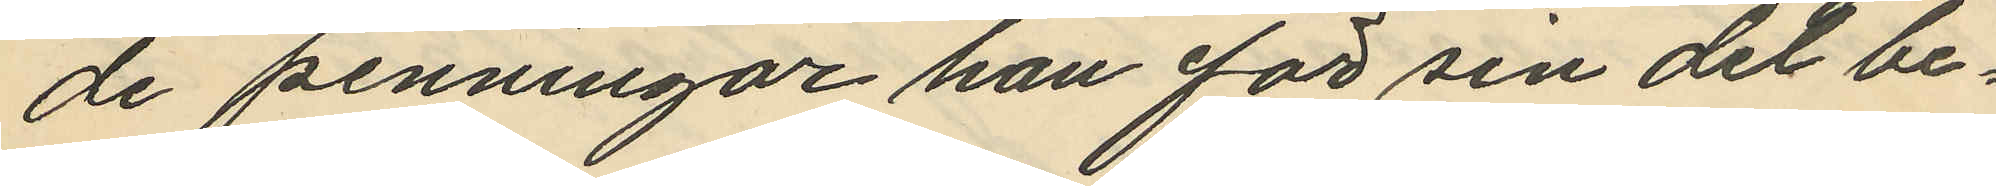de penningar han för sin del be¬
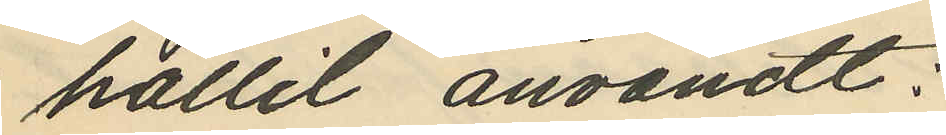hållit användt:
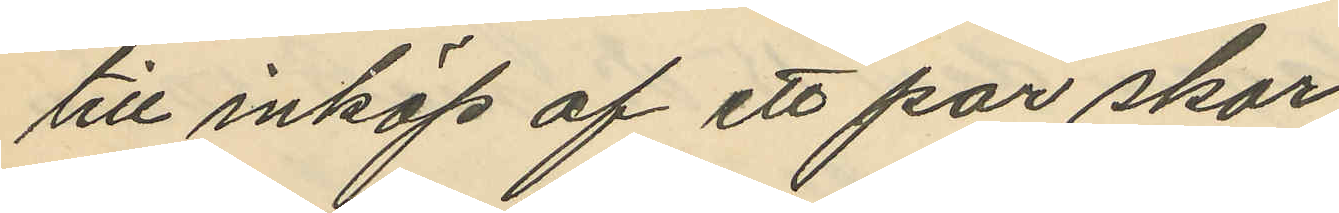till inköp af ett par skor
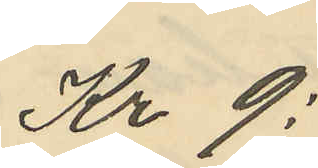Kr 9:
